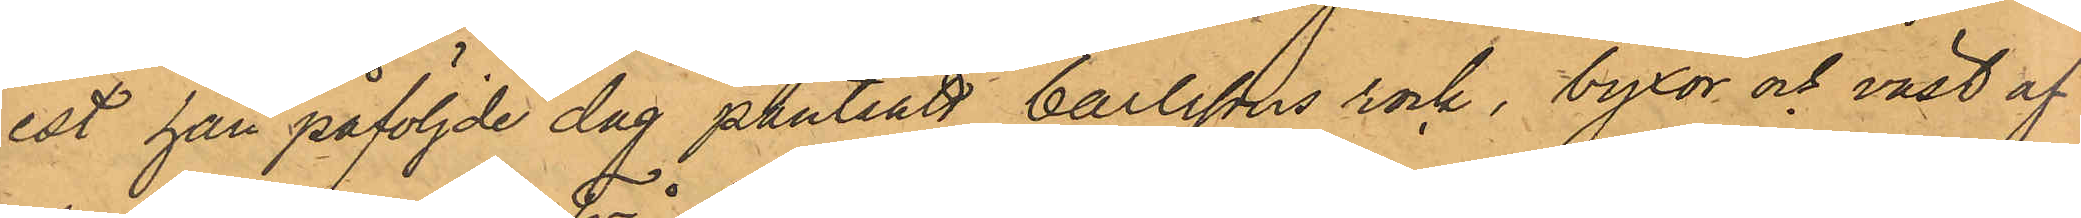est han påföljde dag pantsatt Carlssons rock, byxor och väst af
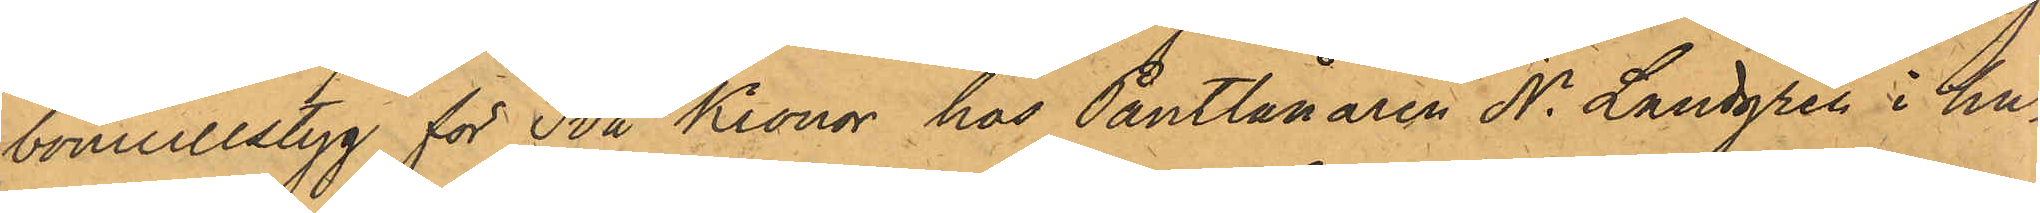bomullstyg för Två Kronor hos Pantlånaren N. Landgren i hu¬
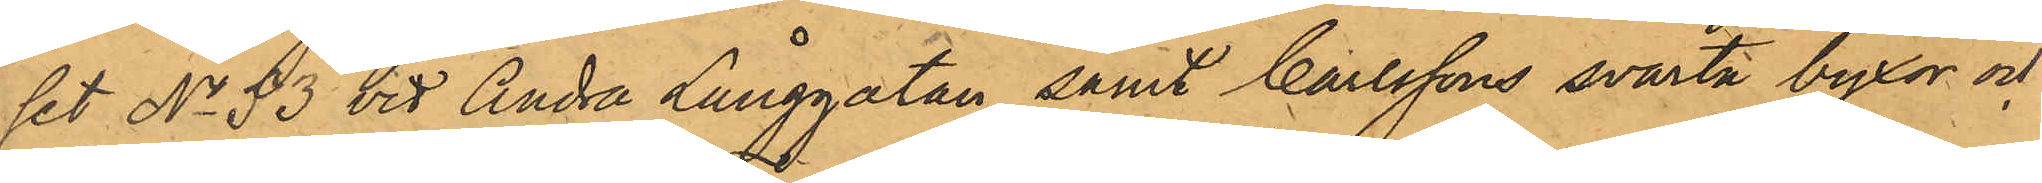set No 53 vid Andra Långgatan samt Carlssons svarta byxor och
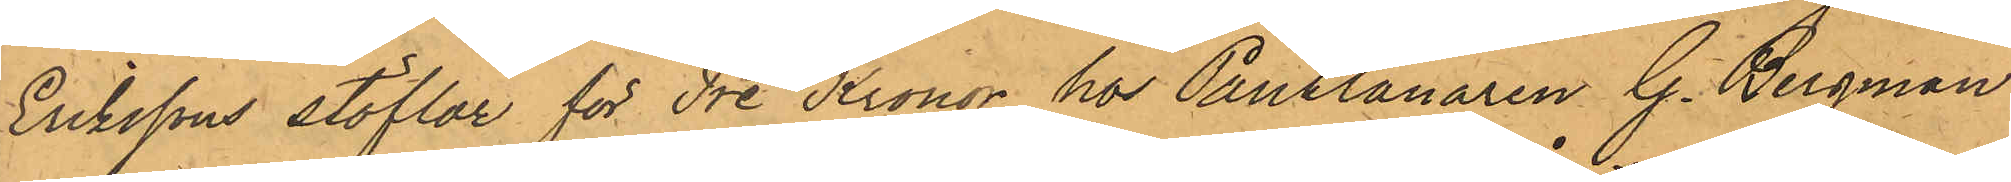Erikssons stöflar för Tre Kronor hos Pantlånaren G. Bergman
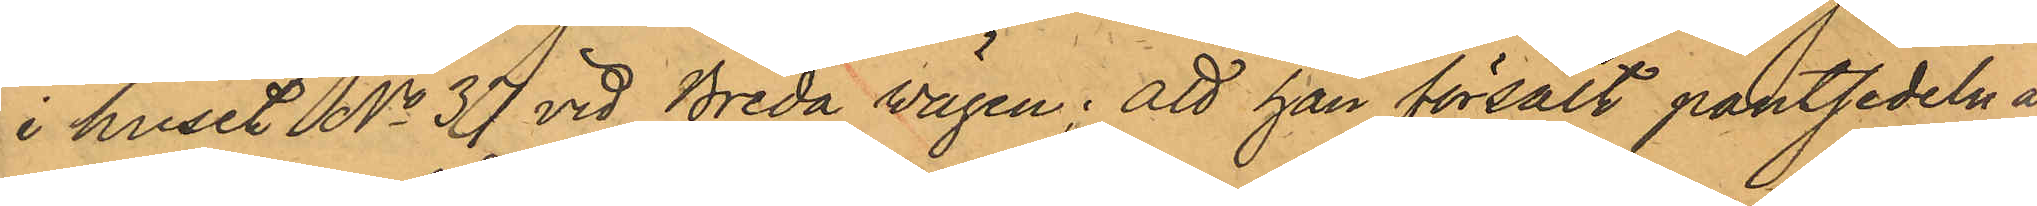i huset No 37 vid Breda vägen; att han försålt pantsedeln å
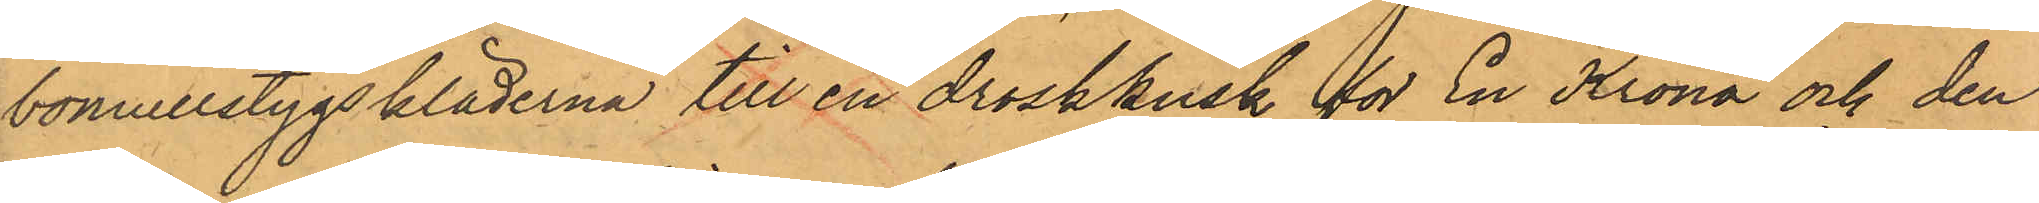bomullstygskläderna till en droskkusk för En Krona och den
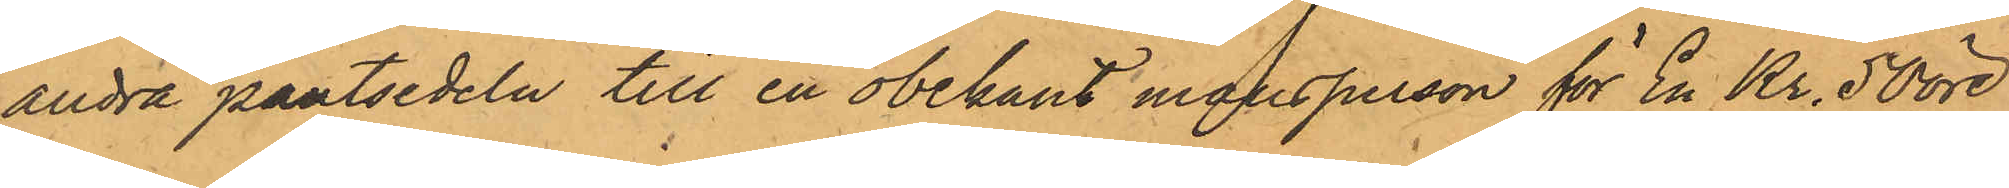andra pantsedeln till en obekant mansperson för En Kr. 50 öre
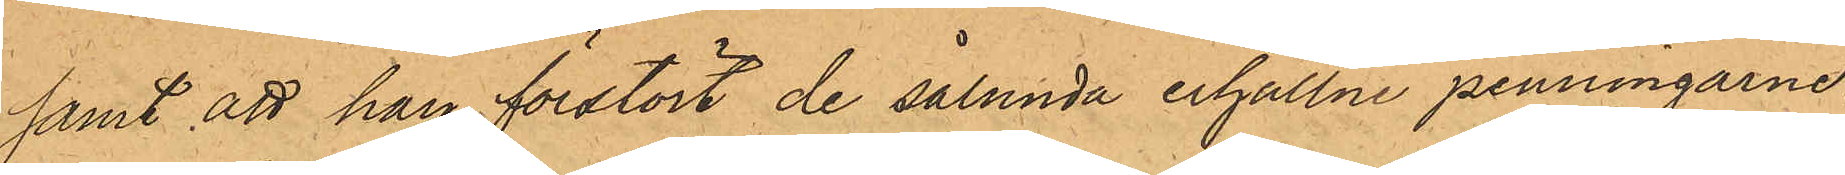samt att han förstört de sålunda erhållne penningarne,
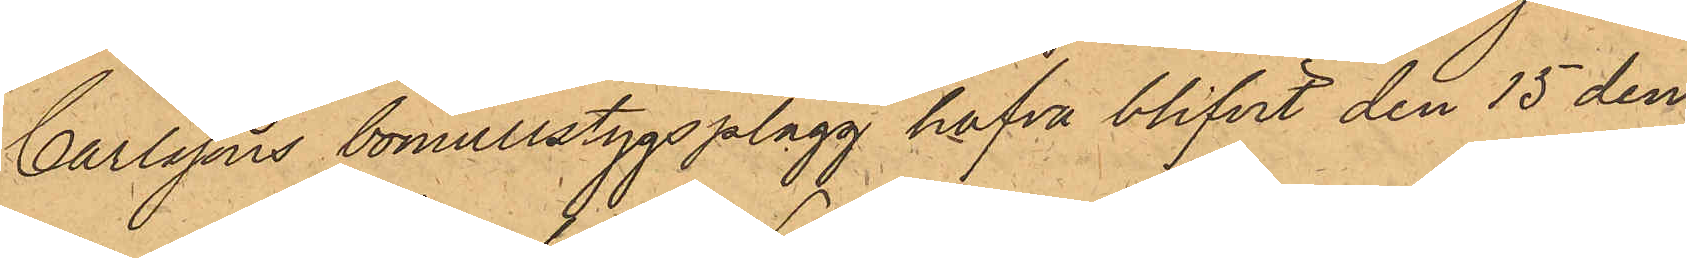Carlssons bomullstygsplagg hafva blifvit den 15 den¬
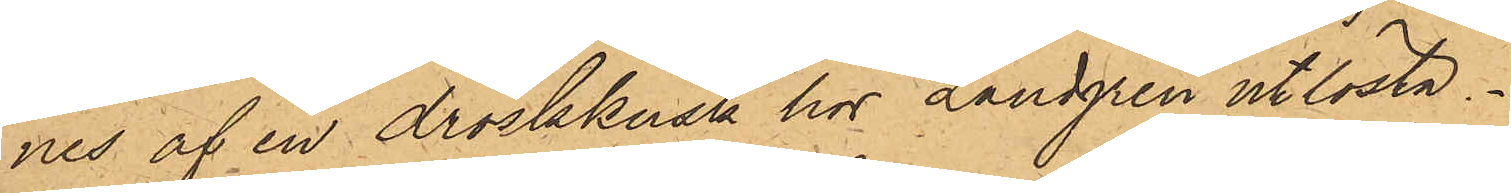nes af en droskkusk hos Landgren utlösta.
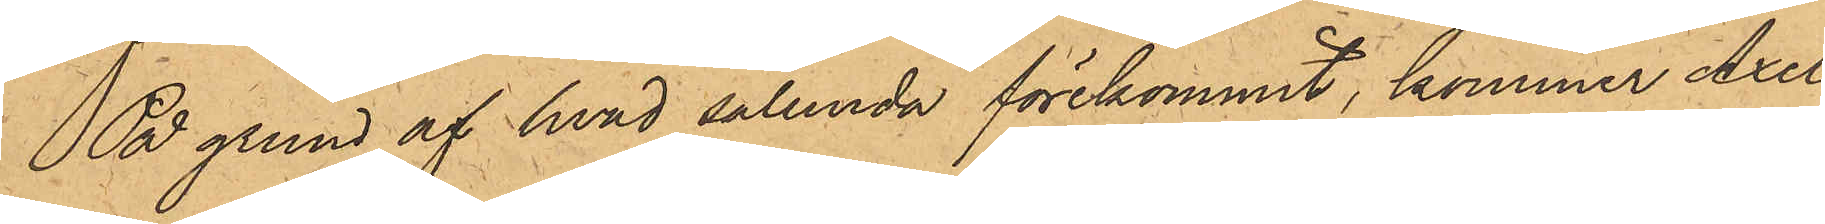På grund af hvad sålunda förekommit, kommer Axel
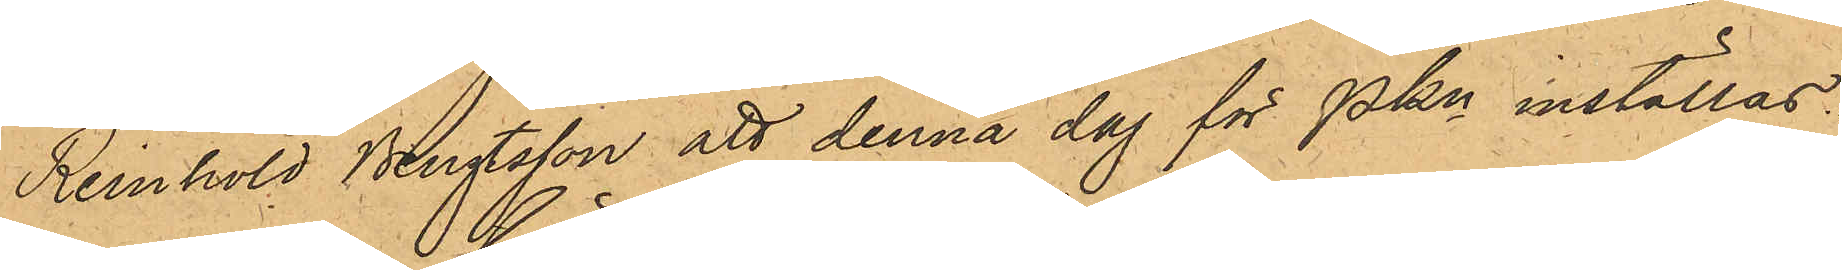Reinhold Bengtsson att denna dag för PKn inställas.
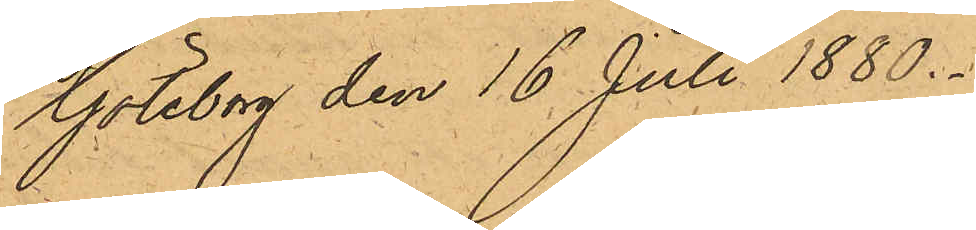Göteborg den 16 Juli 1880.
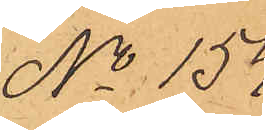No 154.
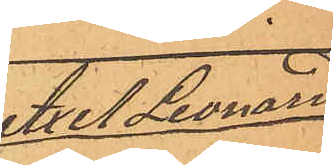Axel Leonard
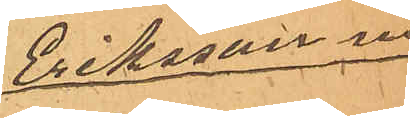Eriksson m
